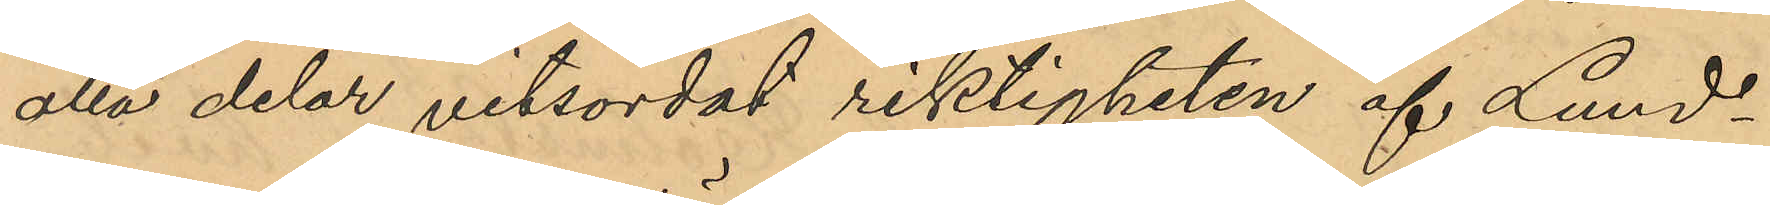alla delar vitsordat riktigheten af Lund¬
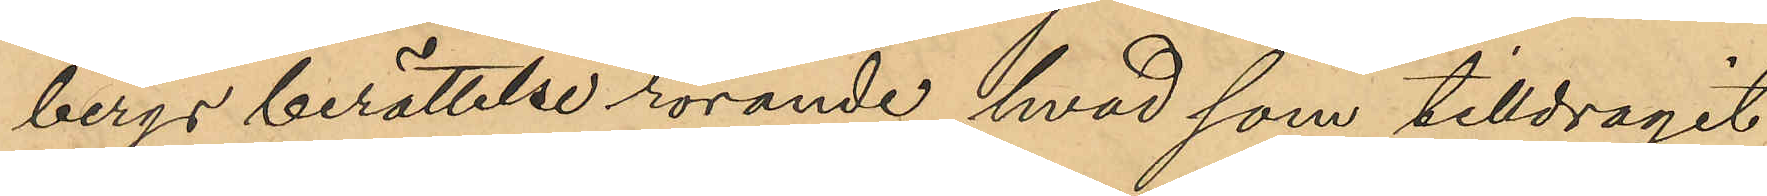bergs berättelse rörande hvad som tilldragit
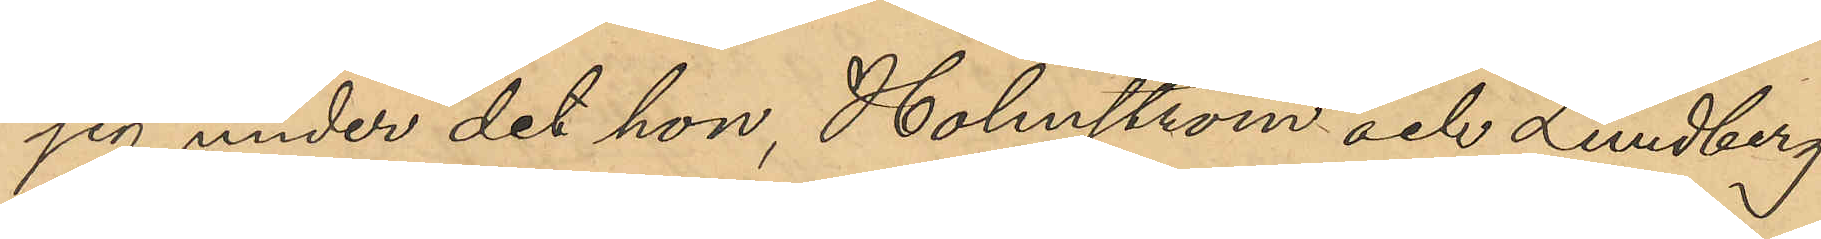sig under det hon, Holmström och Lundberg
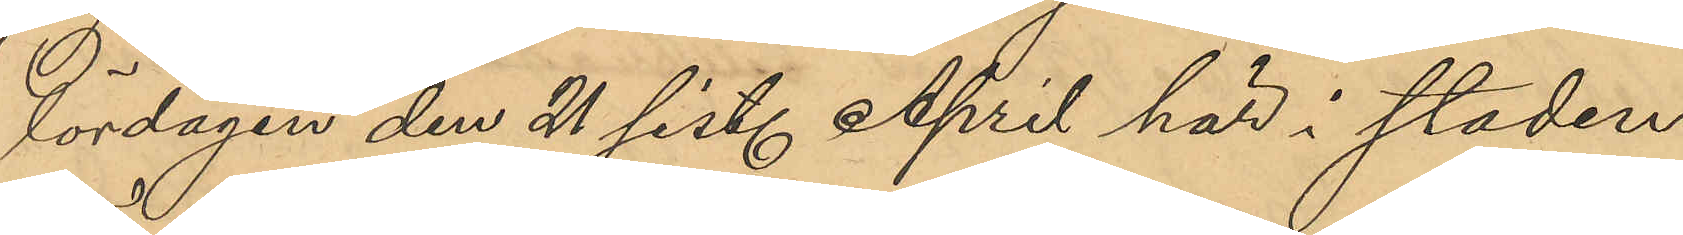lördagen den 21 sist. April här i staden
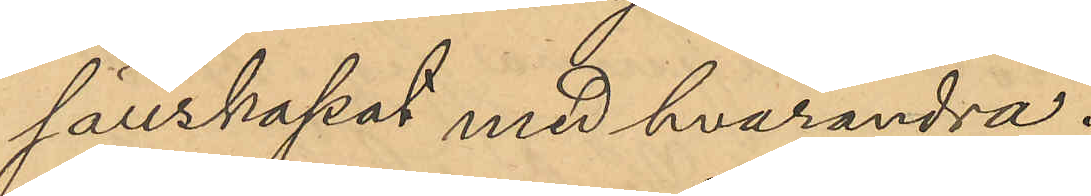sällskapat med hvarandra.
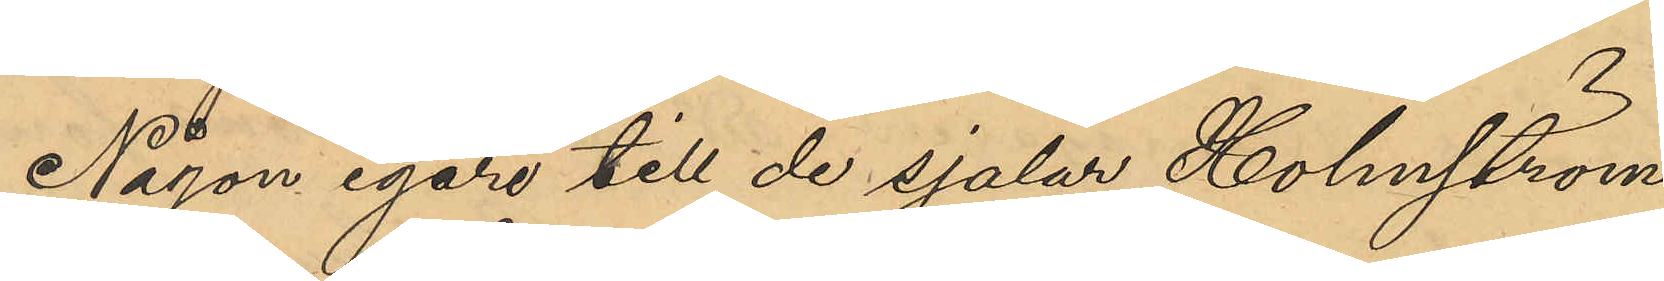Någon egare till de sjalar Holmström
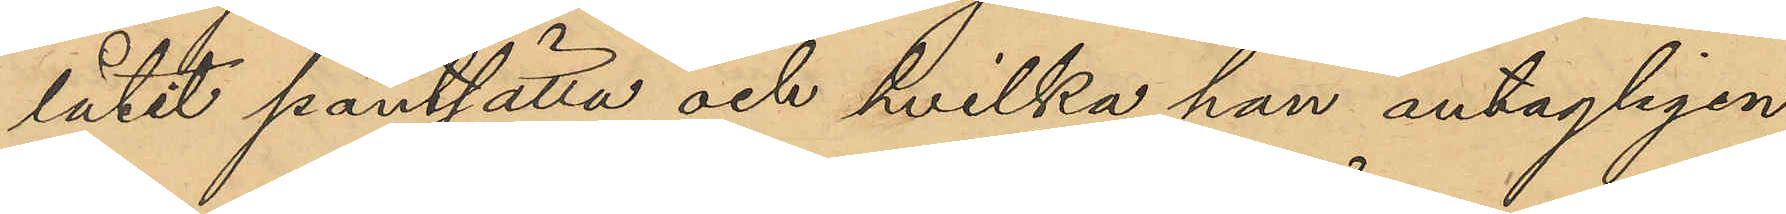låtit pantsätta och hvilka han antagligen
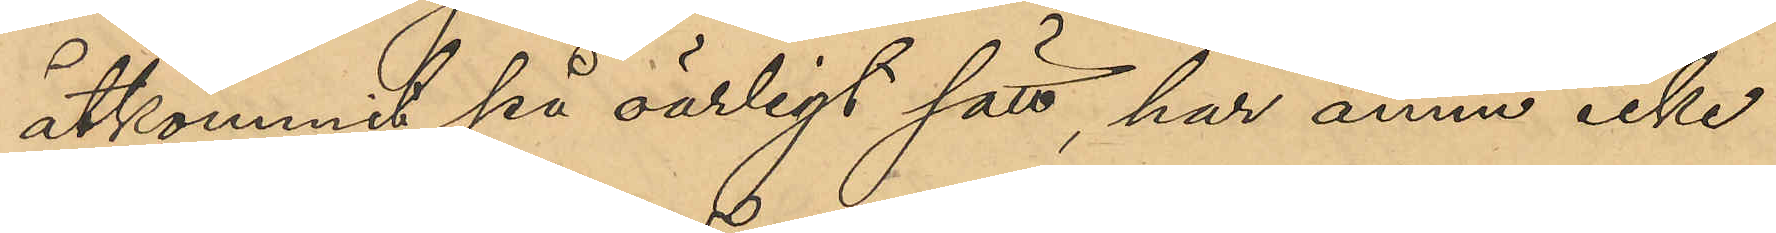åtkommit på oärligt sätt, har ännu icke
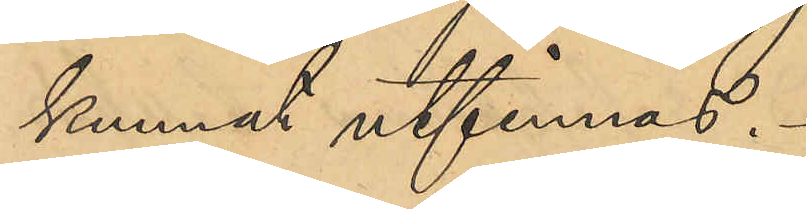kunnat utfinnas.
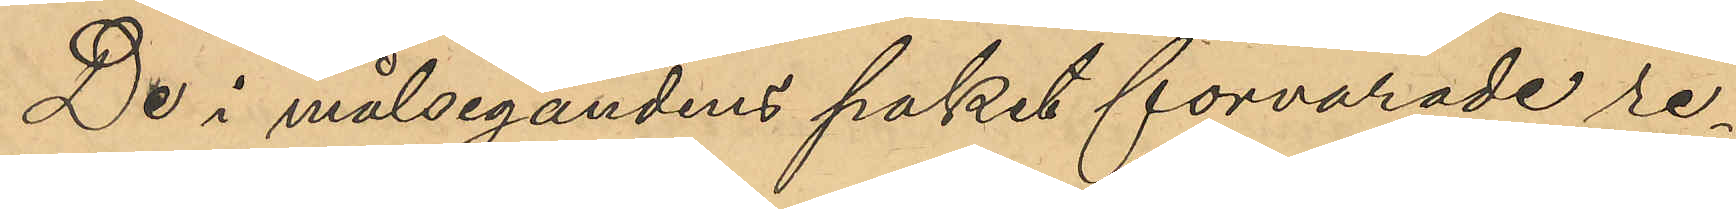De i målsegandens paket förvarade re¬
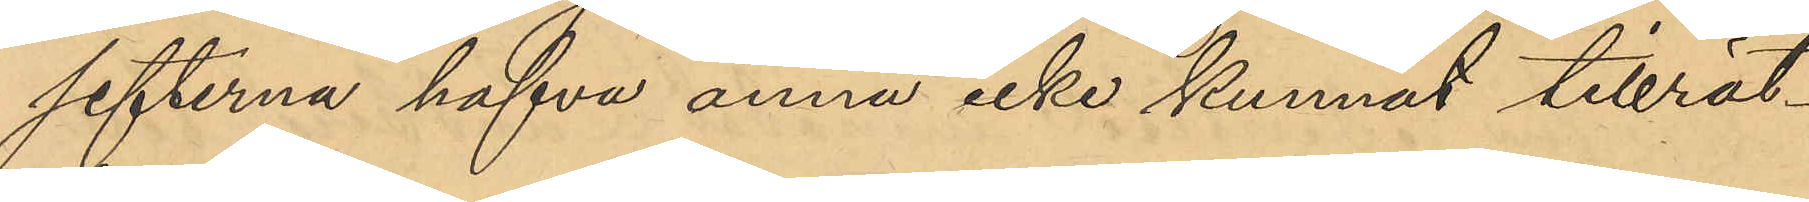sefterna hafva ännu icke kunnat tillrät¬
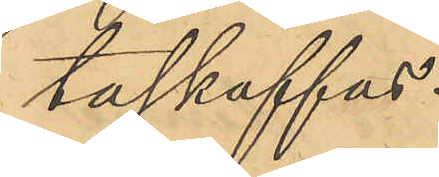taskaffas.
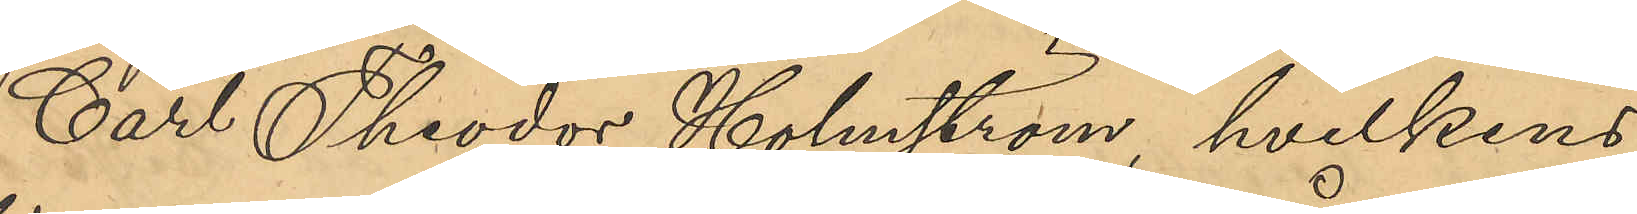Carl Theodor Holmström, hvilkens
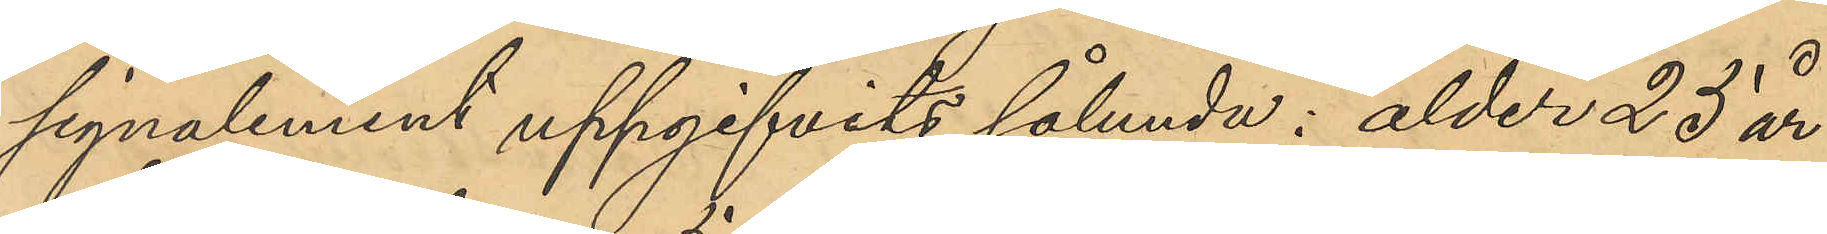signalement uppgifvits sålunda: ålder 23 år,
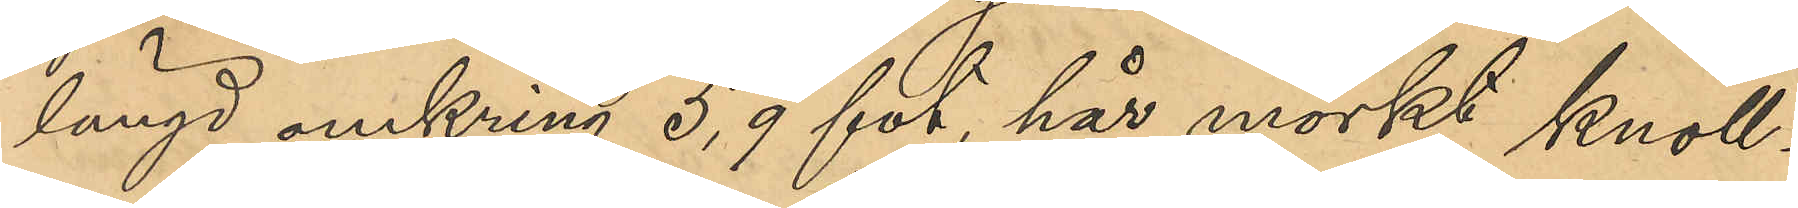längd omkring 5,9 fot, hår mörkt knoll¬
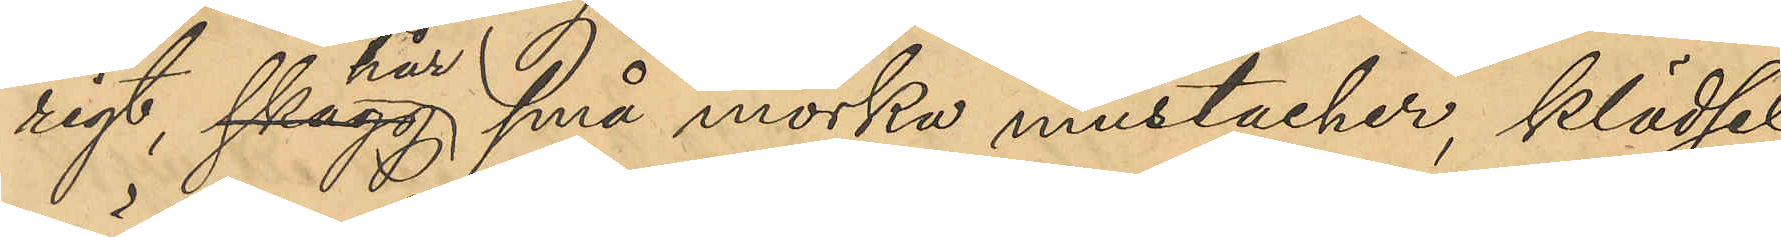rigt hår, små mörka mustascher, klädsel
